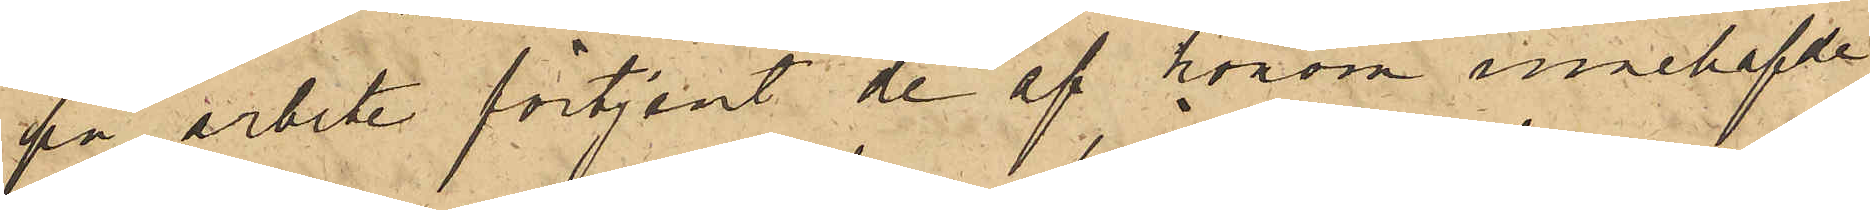på arbete förtjent de af honom innehafde
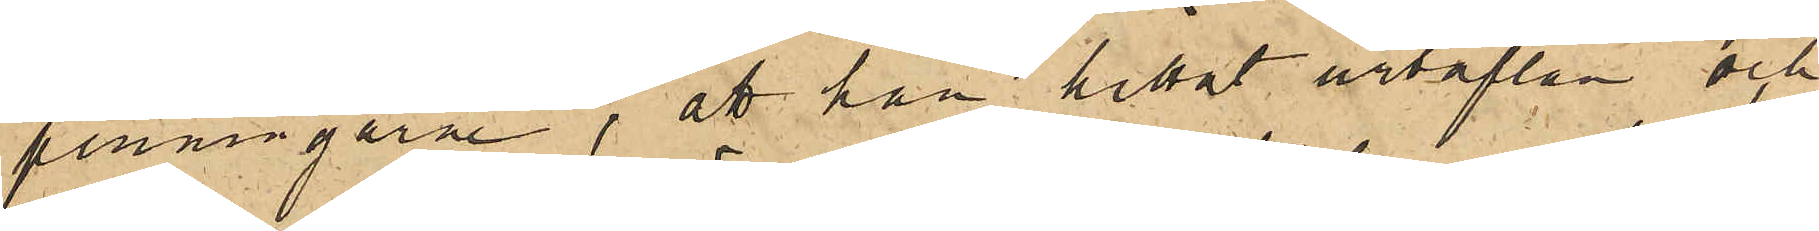penningarne; att han hittat urtaflan och
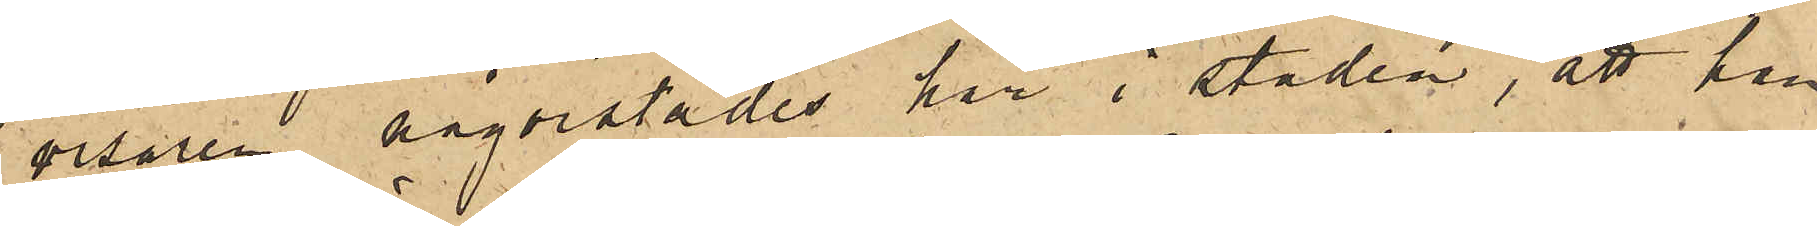visaren någonstädes här i staden, att han
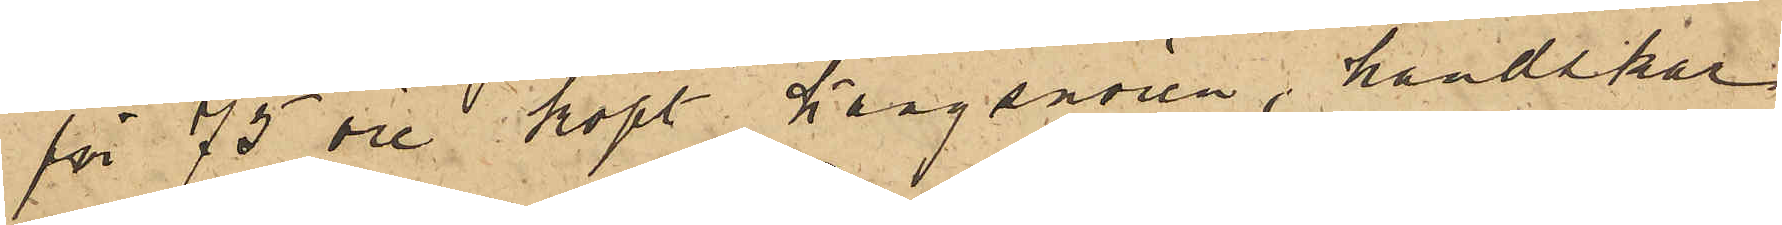för 75 öre köpt kängsnören, handskar
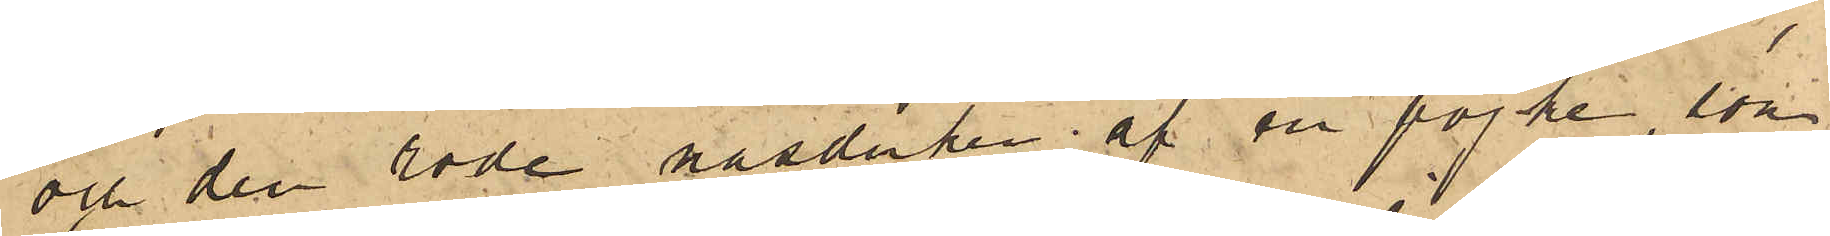och den röde näsduken af en pojke, som
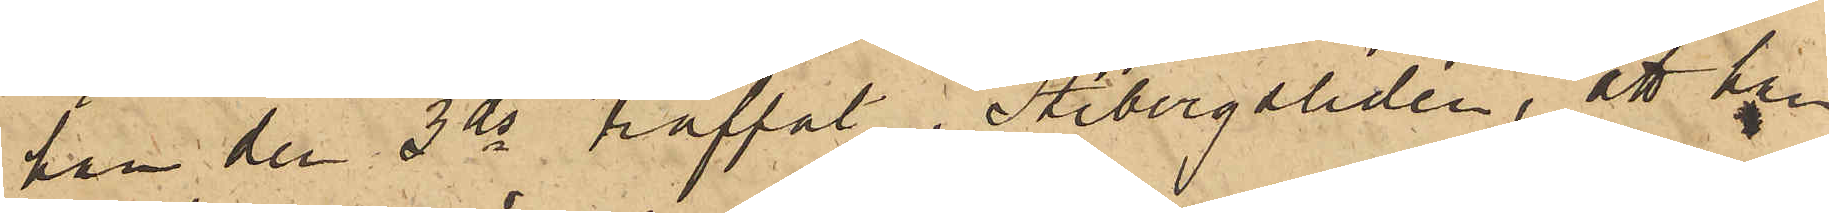han den 3 ds träffat i Stibergsliden, att han
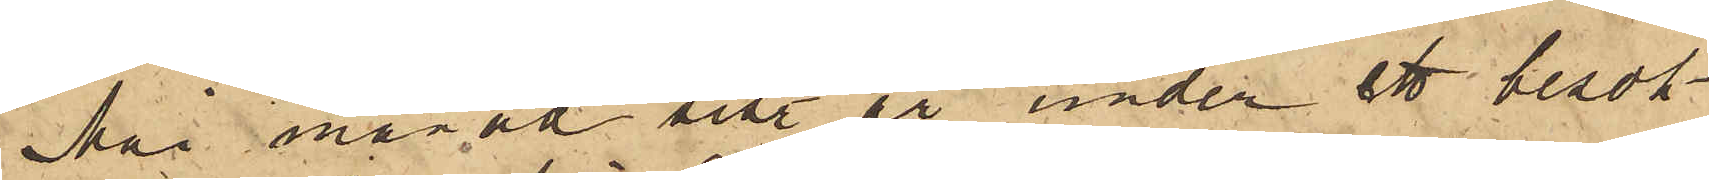i Mai månad sist. år under ett besök
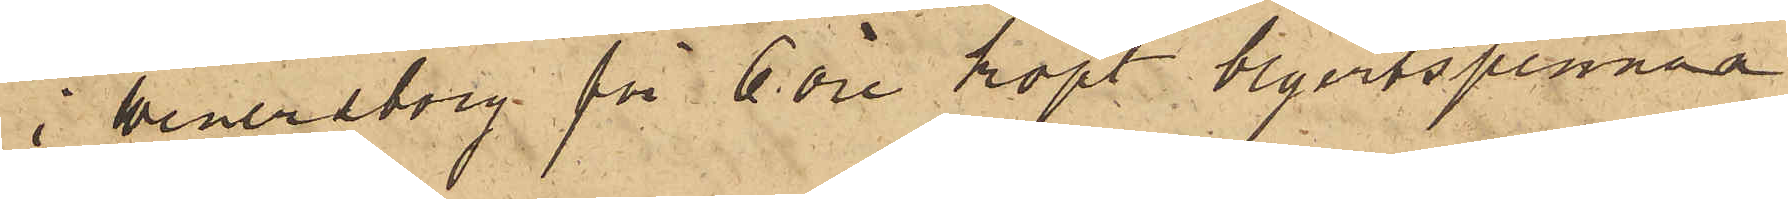i Wenersborg för 6 öre köpt blyertspennan
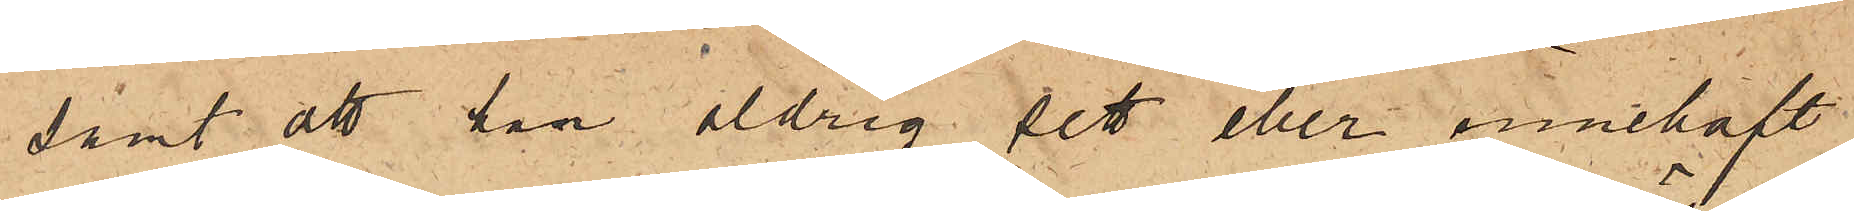samt att han aldrig sett eller innehaft
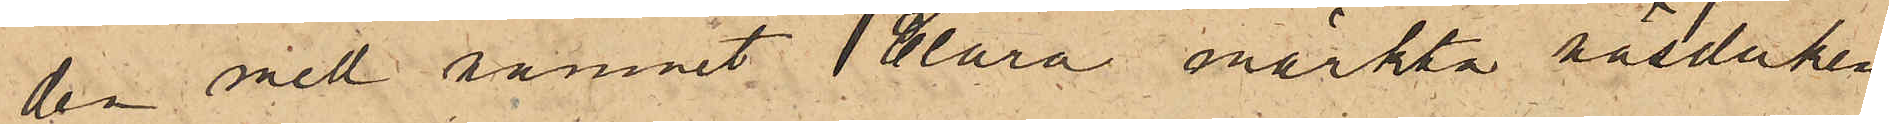den med namnet Clara märkta näsduken.
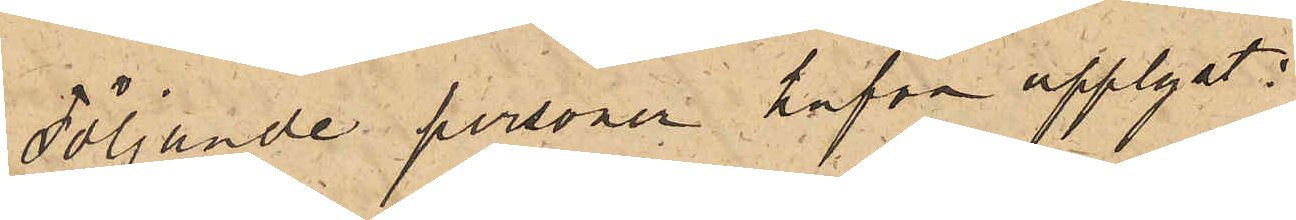Följande personer hafva upplyst:
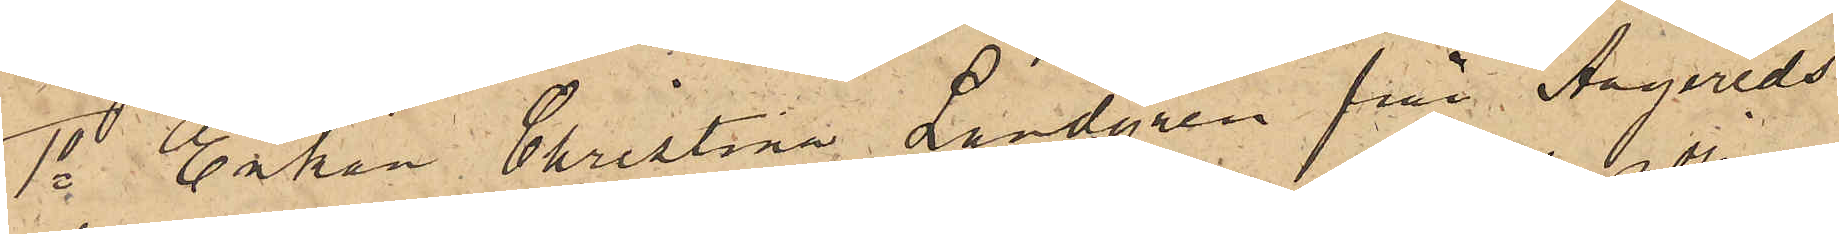1o Enkan Christina Lundgren från Angereds
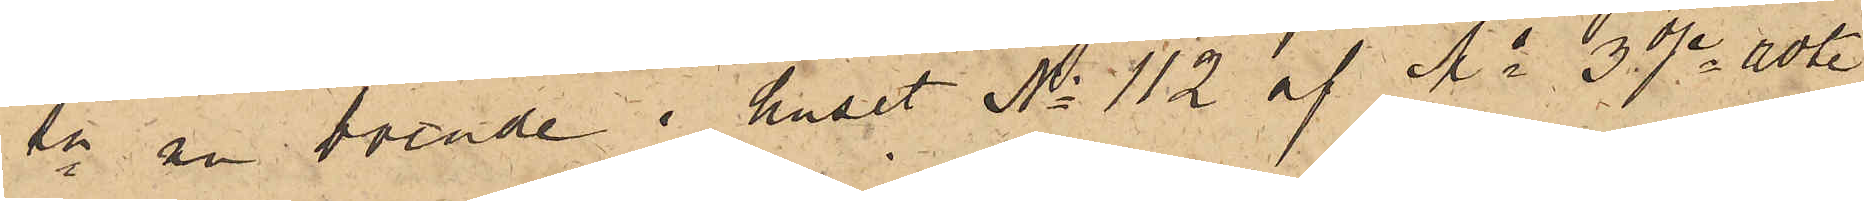sn nu boende i huset No 112 af Ms 3dje rote,
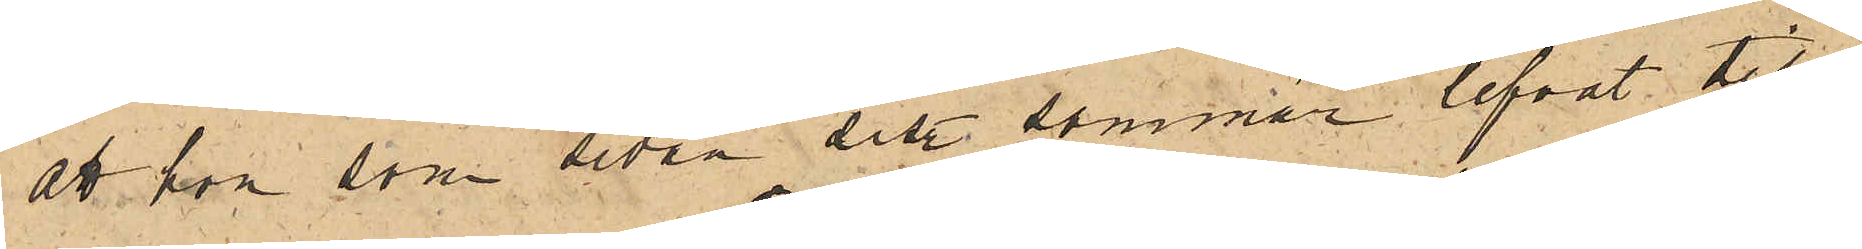att hon som sedan sist. sommar lefvat till¬
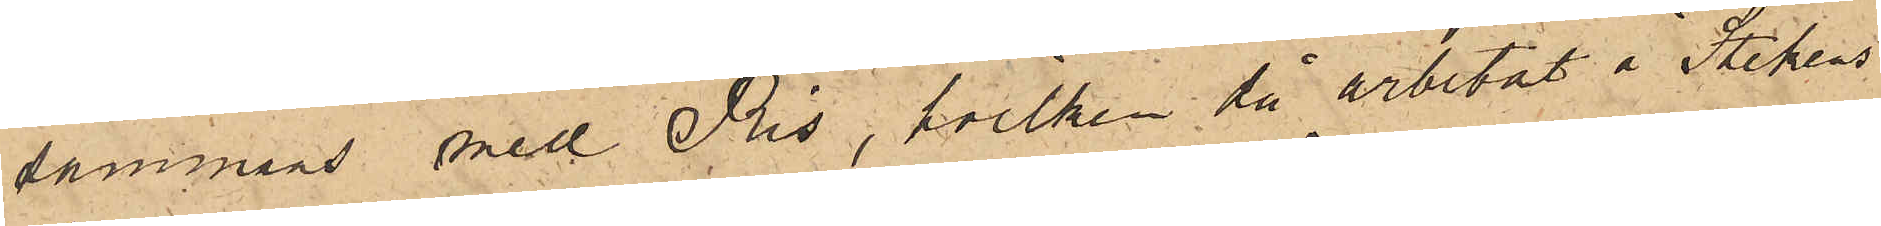sammans med Ris, hvilken då arbetat å Stadens
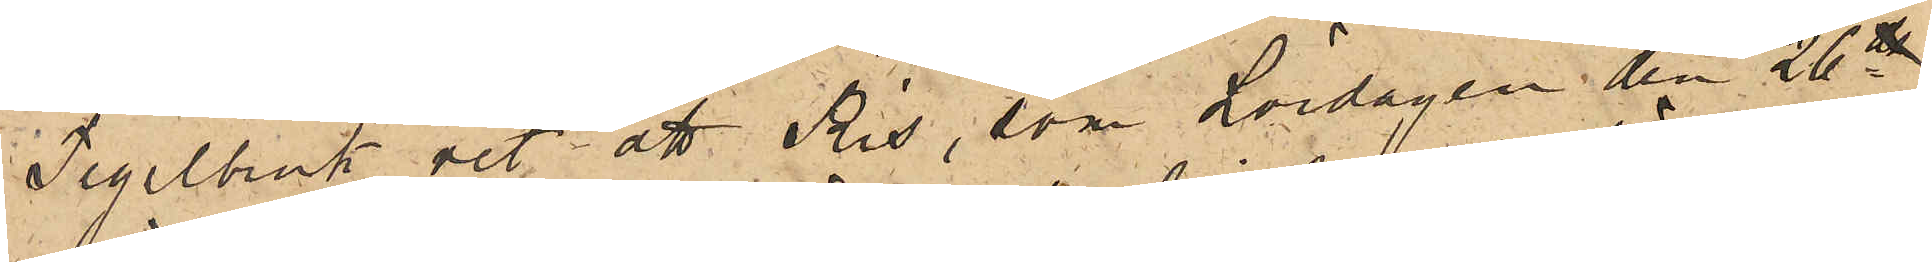Tegelbruk och att Ris, som Lördagen den 26te
